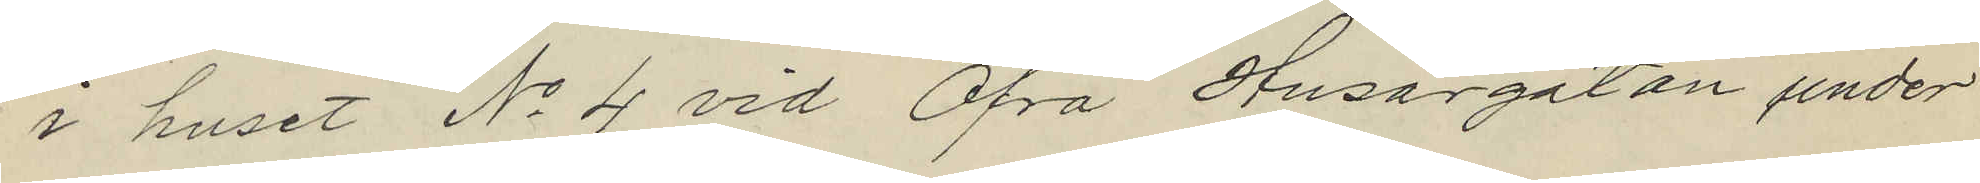i huset No 4 vid Öfra Husargatan under
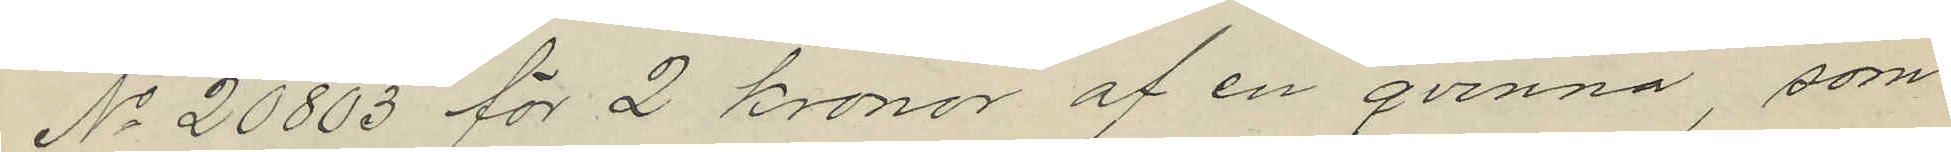No 20803 för 2 kronor af en qvinna, som
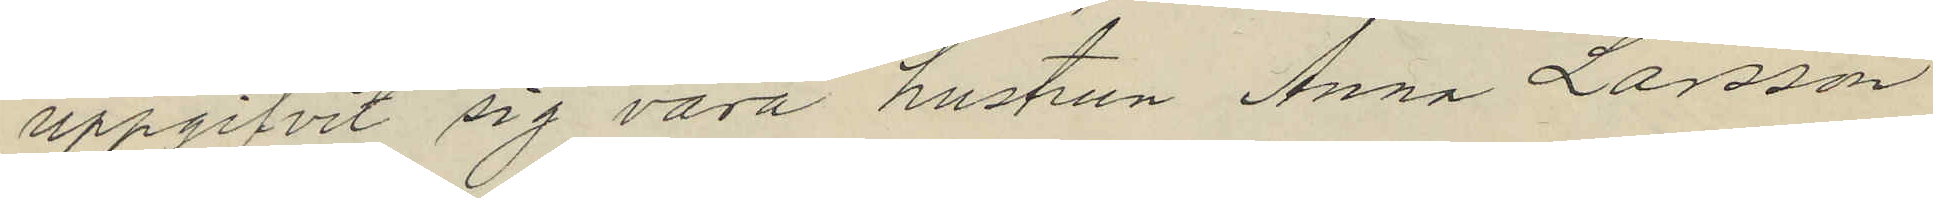uppgifvit sig vara hustrun Anna Larsson
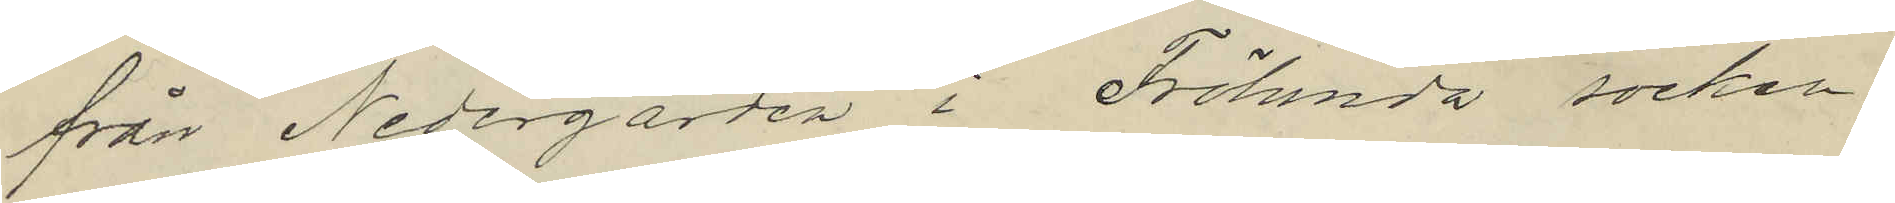från Nedergården i Frölunda socken.
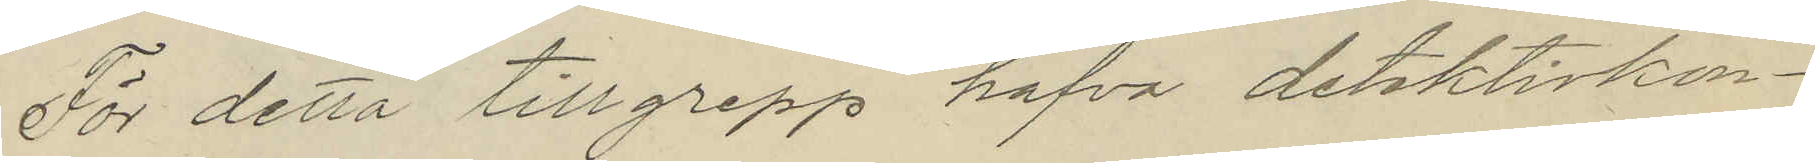För detta tillgrepp hafva detektivkon¬
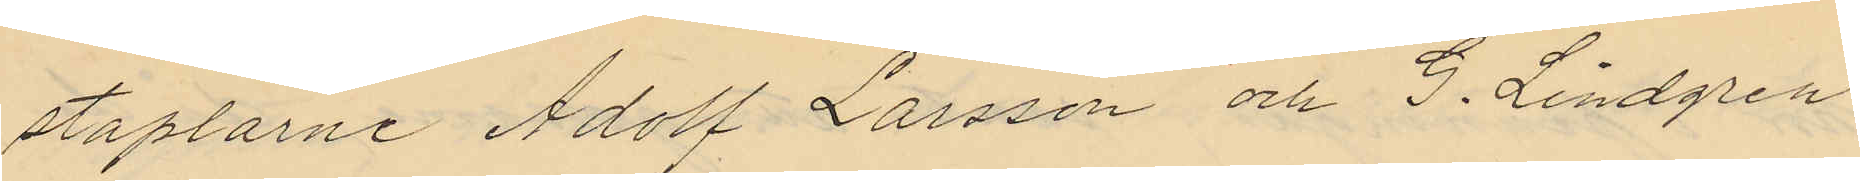staplarne Adolf Larsson och G. Lindgren
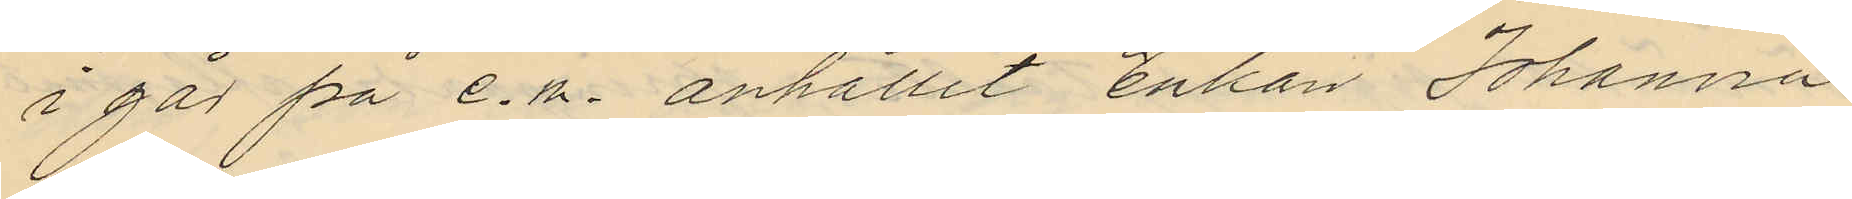i går på e.m. anhållit Enkan Johanna
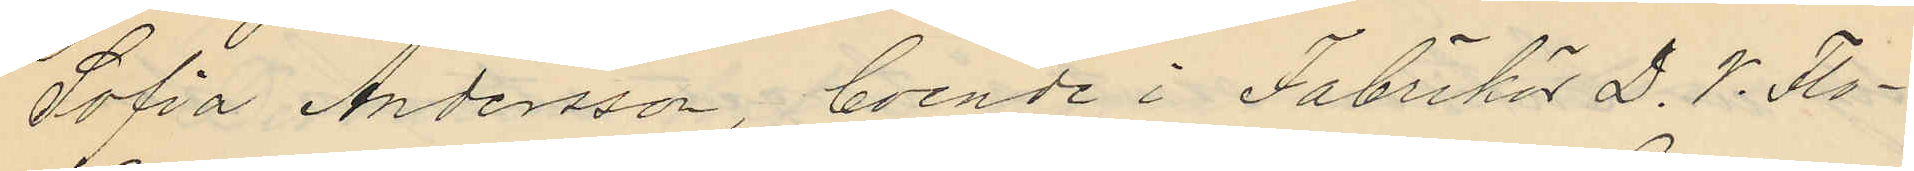Sofia Andersson, boende i Fabrikör D. V. Flo¬
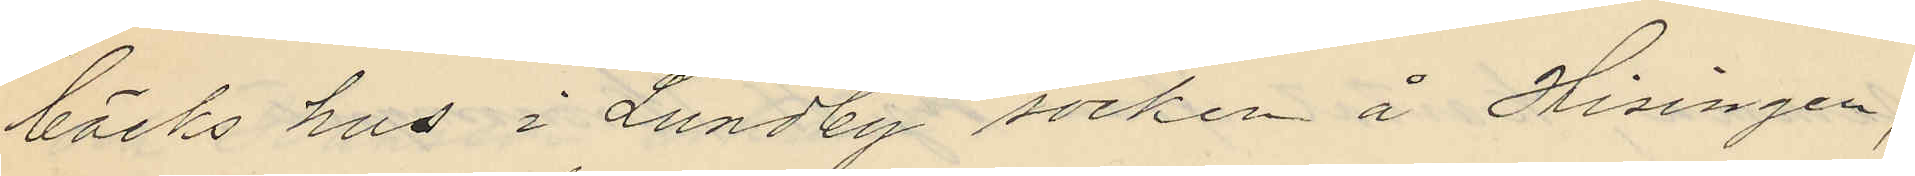bäcks hus i Lundby socken å Hisingen,
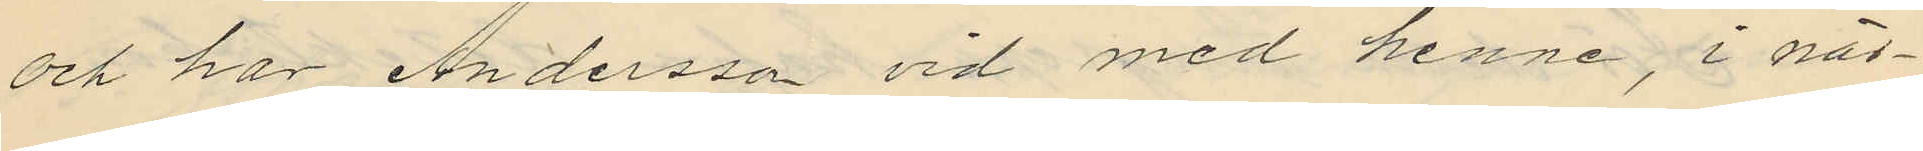och har Andersson vid med henne, i när¬
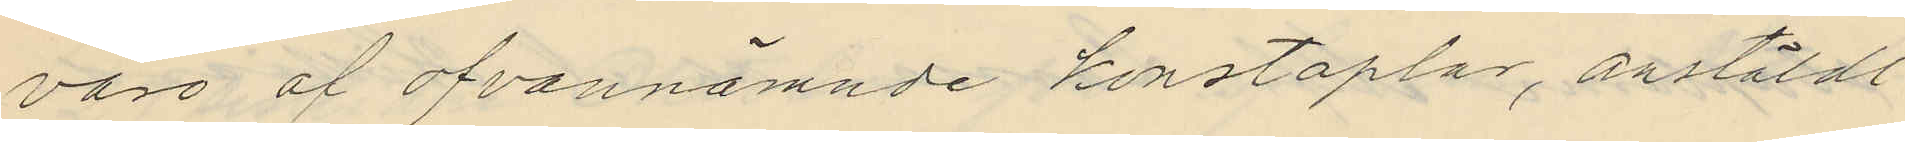varo af ofvannämnde konstaplar, anstäldt
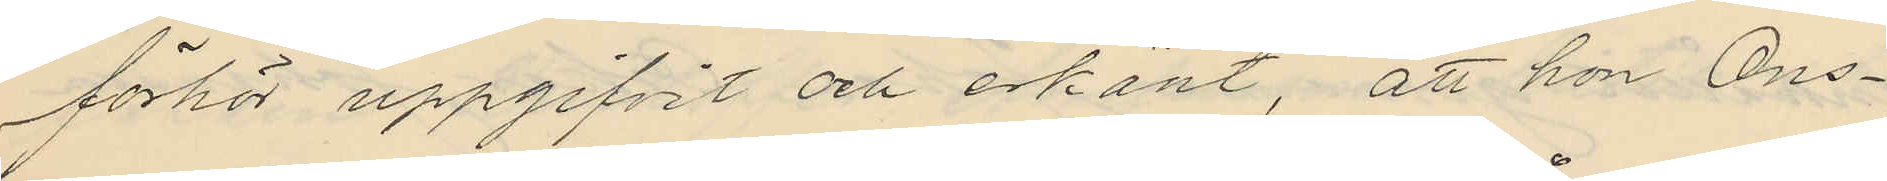förhör uppgifvit och erkänt, att hon Ons¬
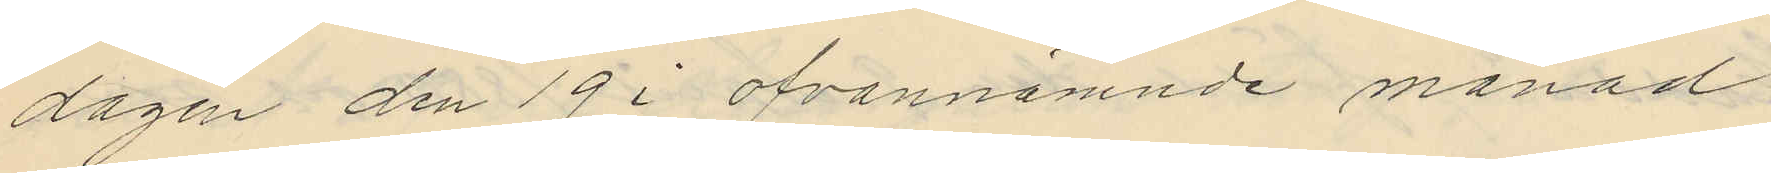dagen den 19 i ofvannämnde månad
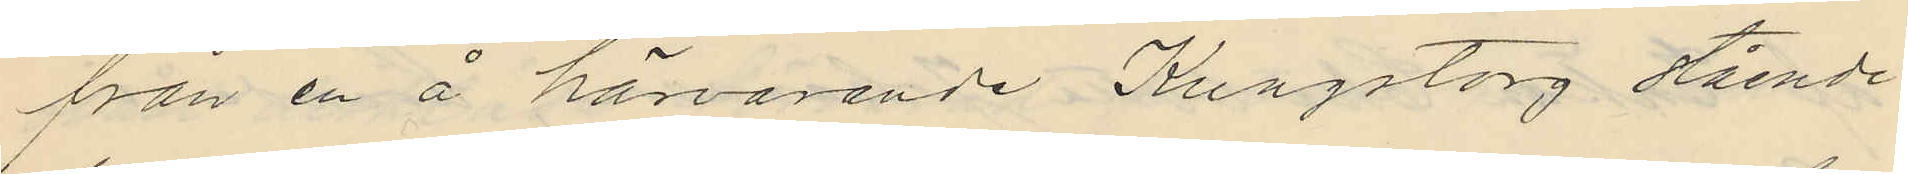från en å härvarande Kungstorg stående
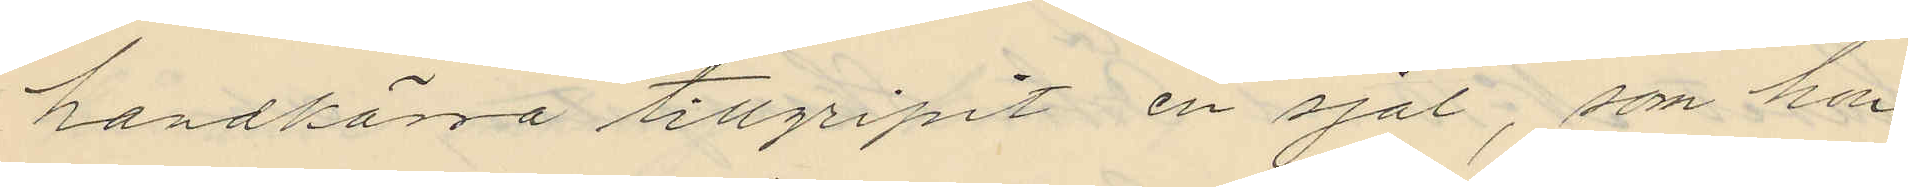handkärra tillgripit en sjal, som hon
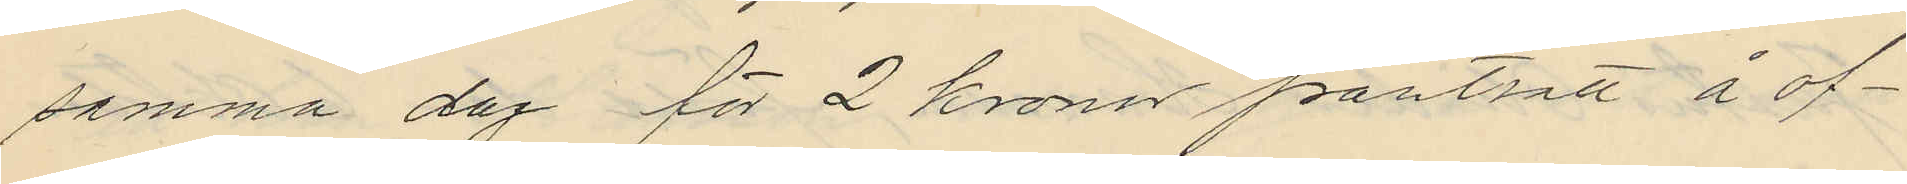samma dag för 2 kronor pantsatt å of¬
